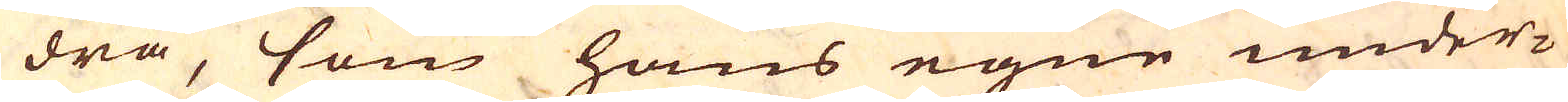dra, som hans egne under-
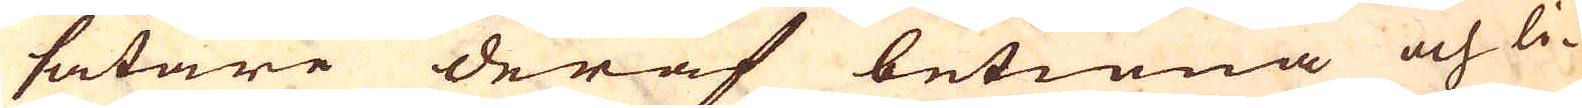såtare deraf betiena och li-
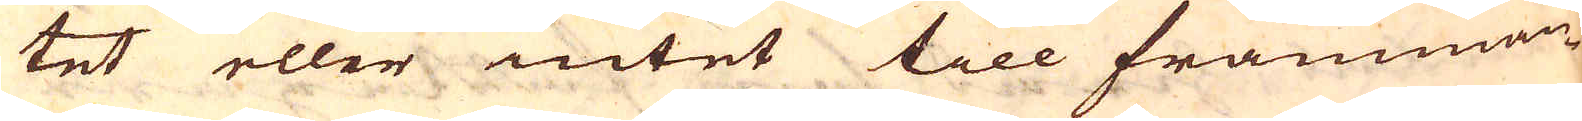tet eller intet till främman-
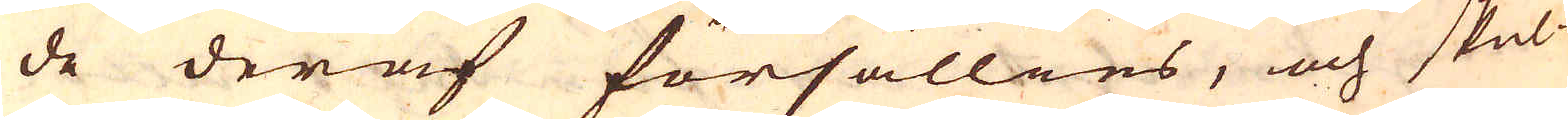de deraf försällies, och skul-
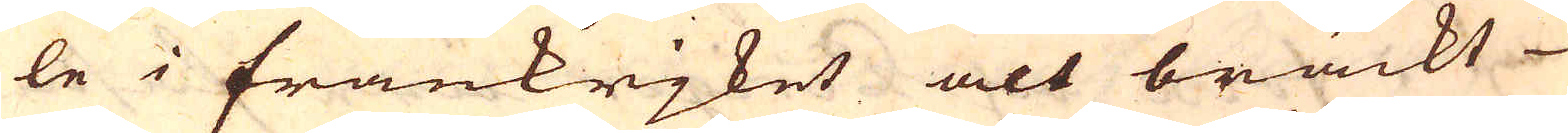le i Frankrjket alt bräckt
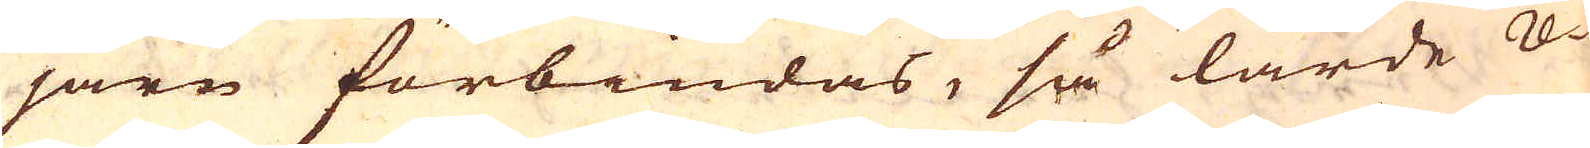järn förbiudas, så lärde re-
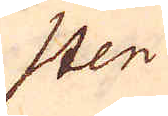sten
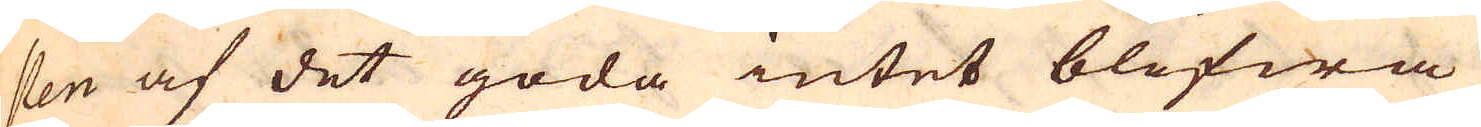sten af det goda intet blifwa
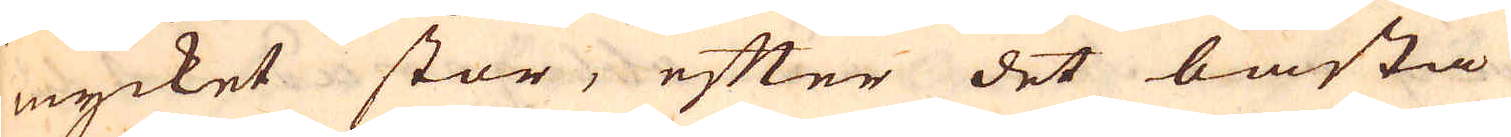mycket stor, efter det bästa
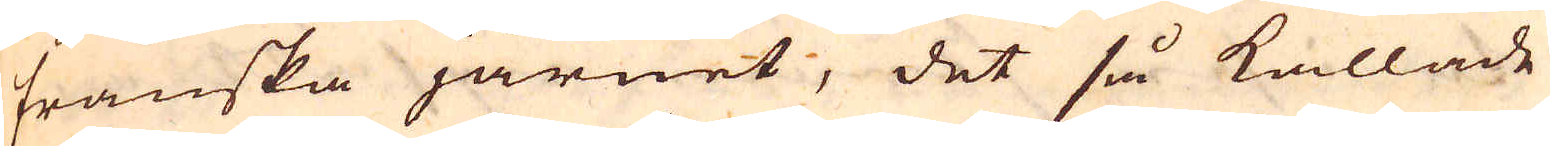franska järnet, det så kallade
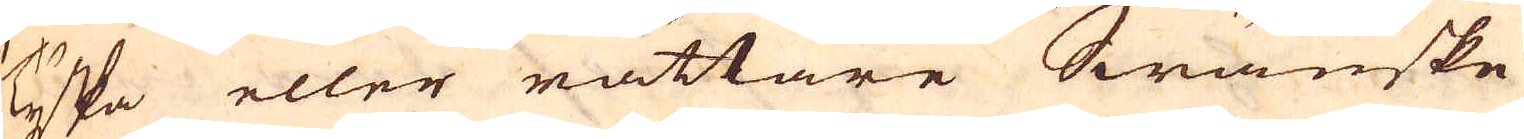Tyska eller rättare Swänske
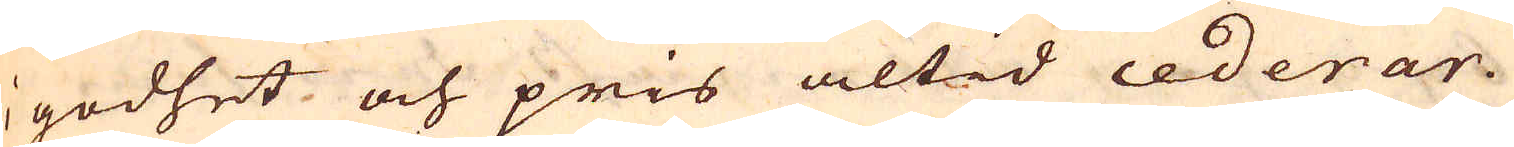i godhet och pris altid cederar.
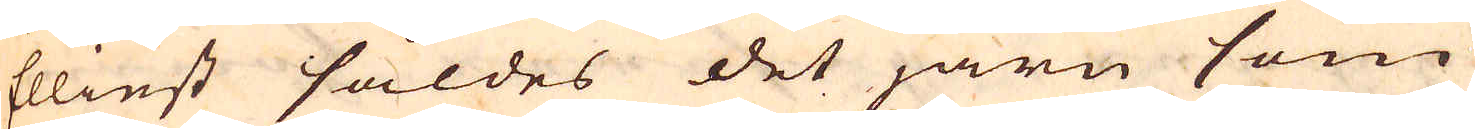Elliest säldes det järn som
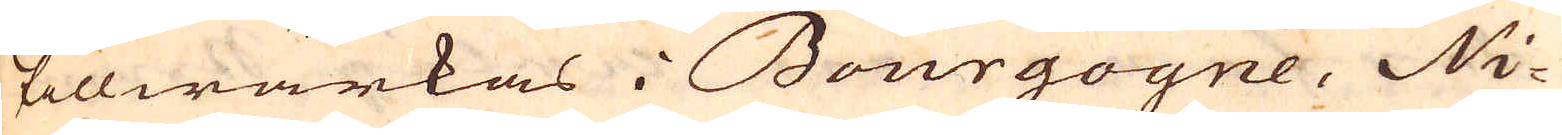tillwärkas i Bourgogne, Ni-
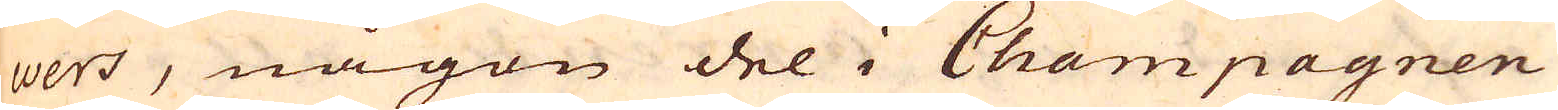vers, någon del i Champagnen
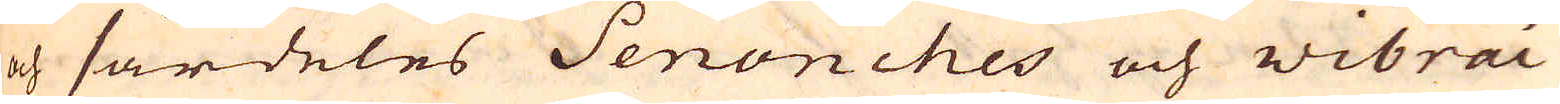och särdeles Senonches och Wibrai
